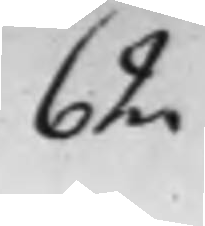62
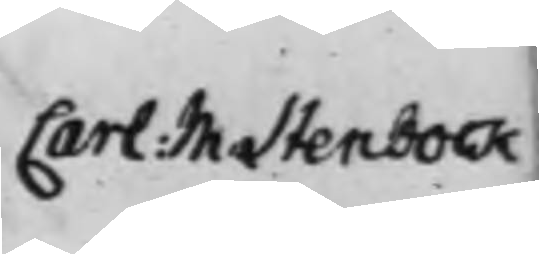Carl: M. Stenbock
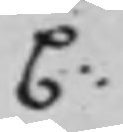C:
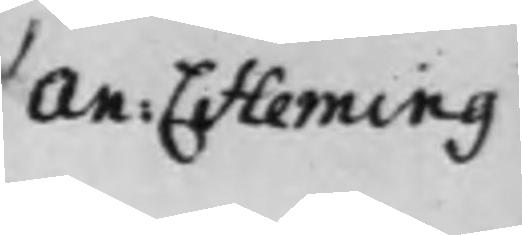An: C. Fleming
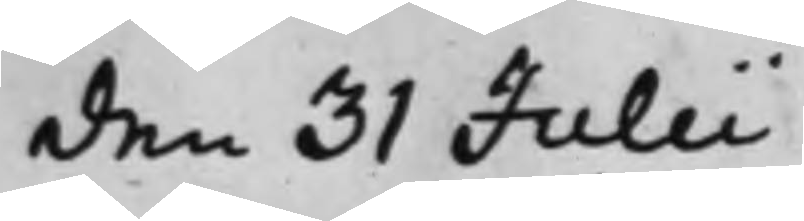den 31 Julii
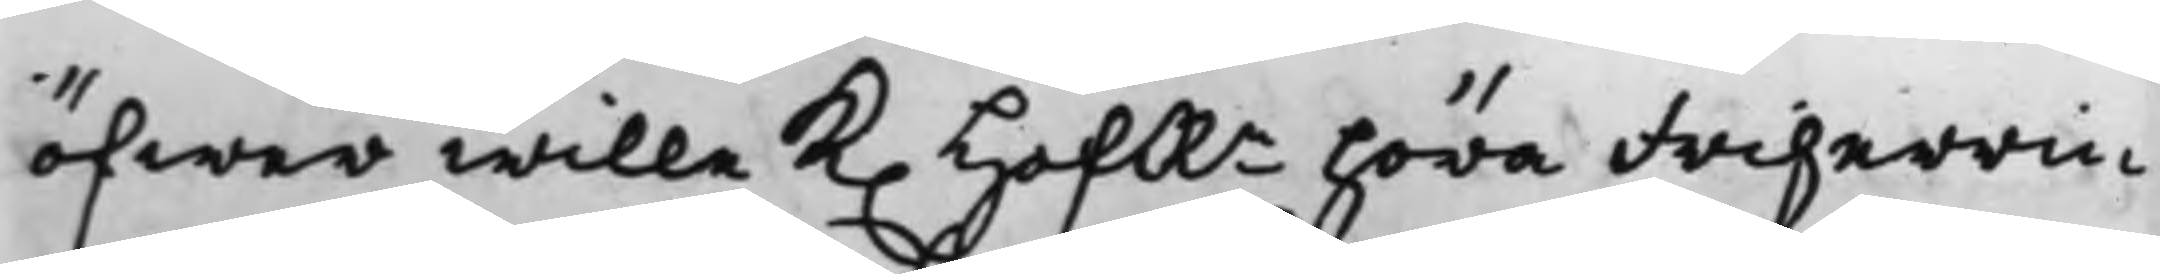öfwer wille K. HofRn höra Friherrin¬
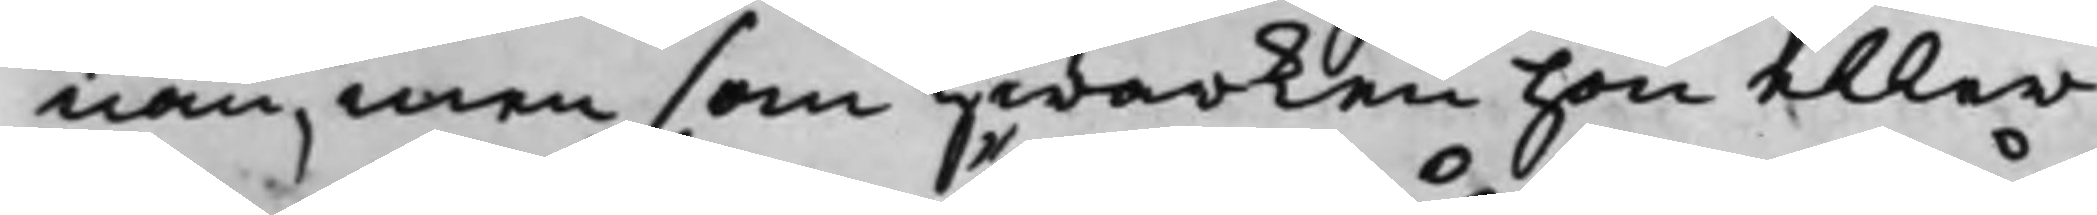nan, men som hwarken hon eller
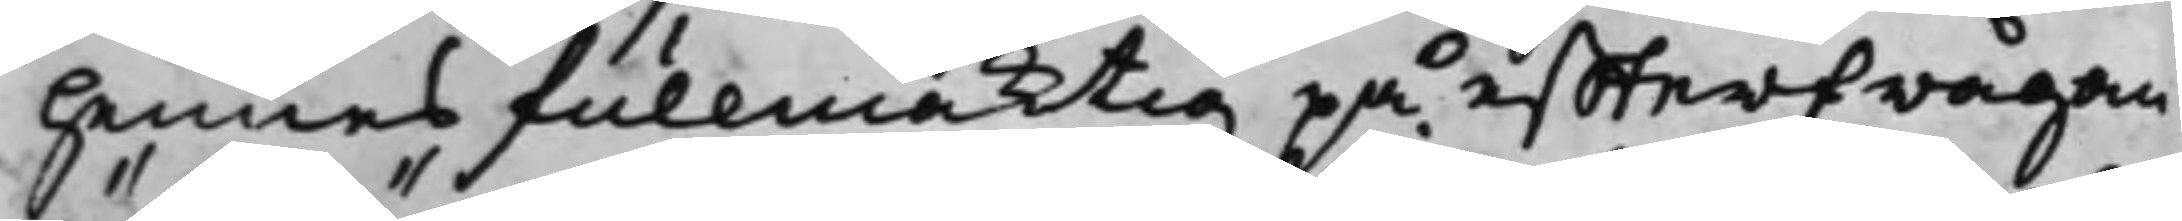hennes fullmäcktig på effterfrågan
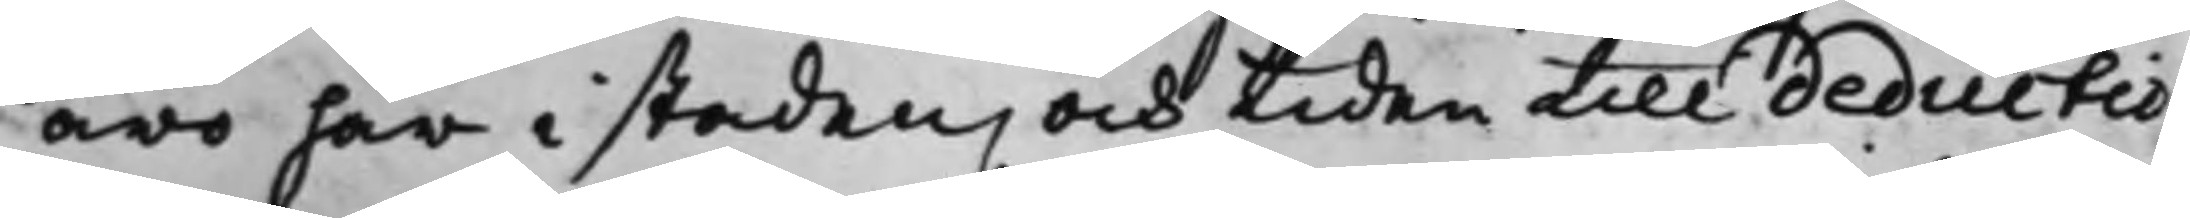äro här i staden, och tiden till deductio¬
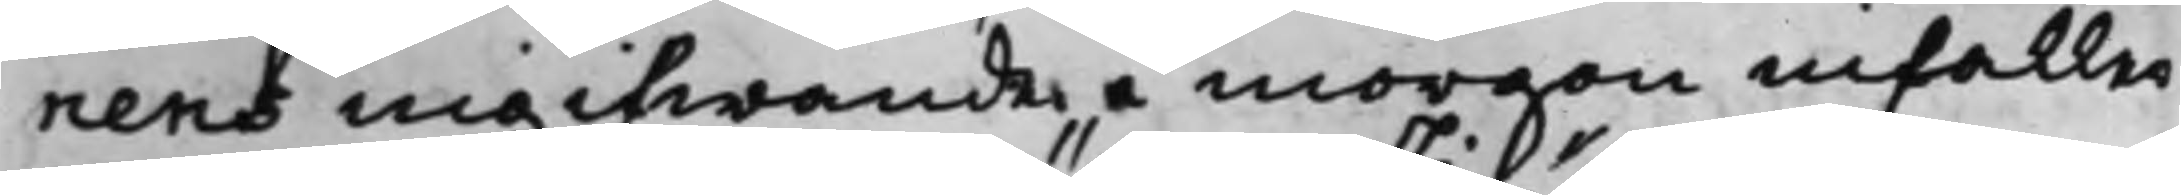nens ingifwande i morgon infaller
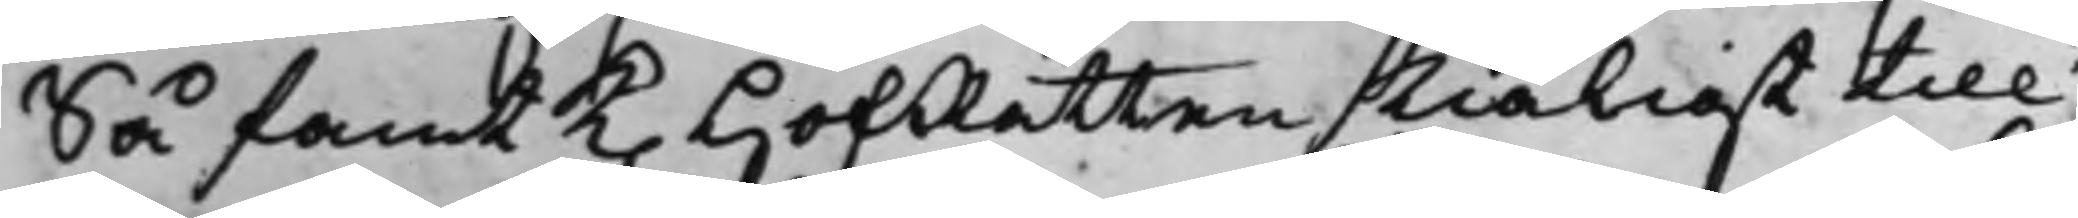Så fant K. HofRätten skiäligt till
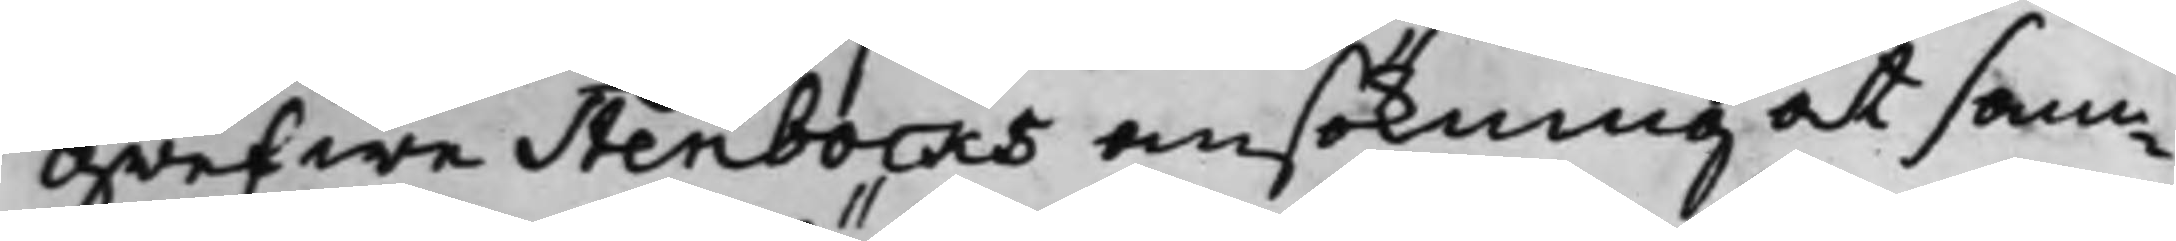Grefwe Stenbocks ansökning at sam¬
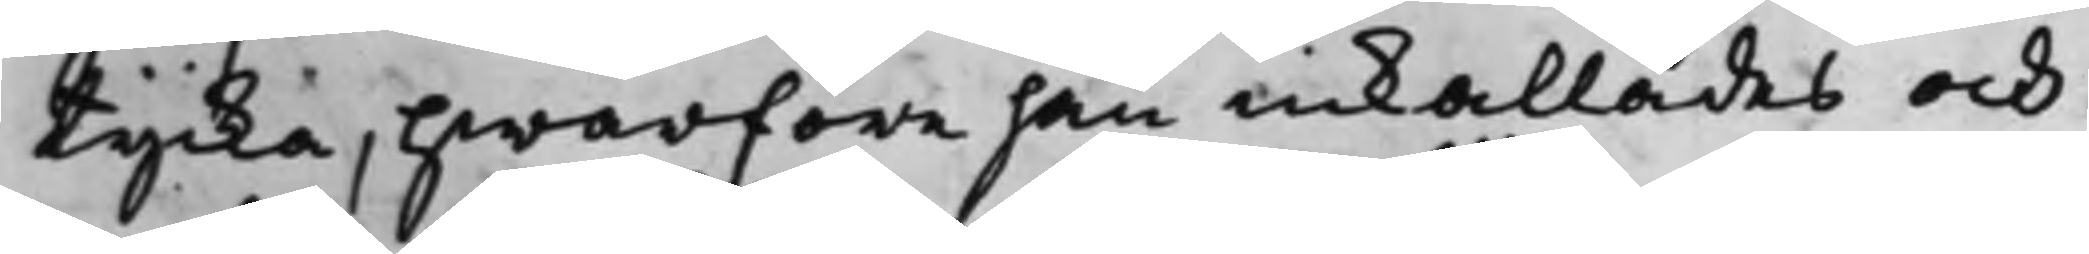tycka, Hwarföre han inkallades och
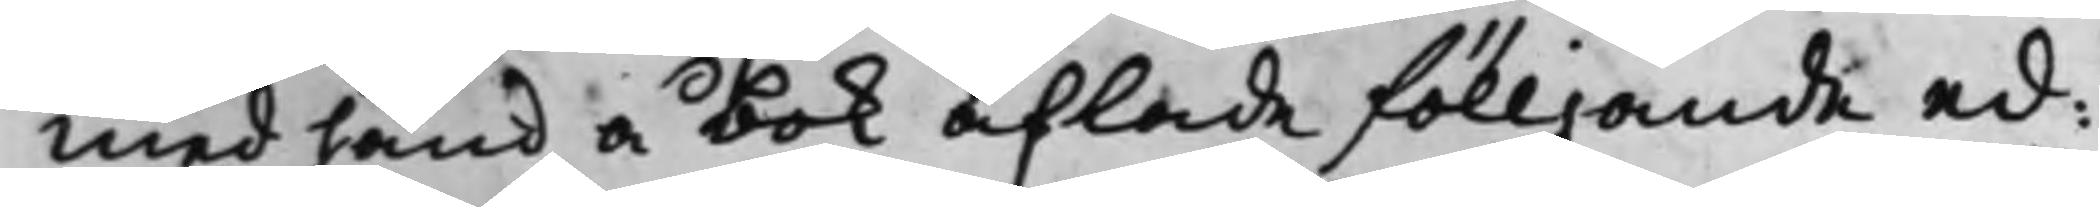med hand å bok aflade fölljande ed:
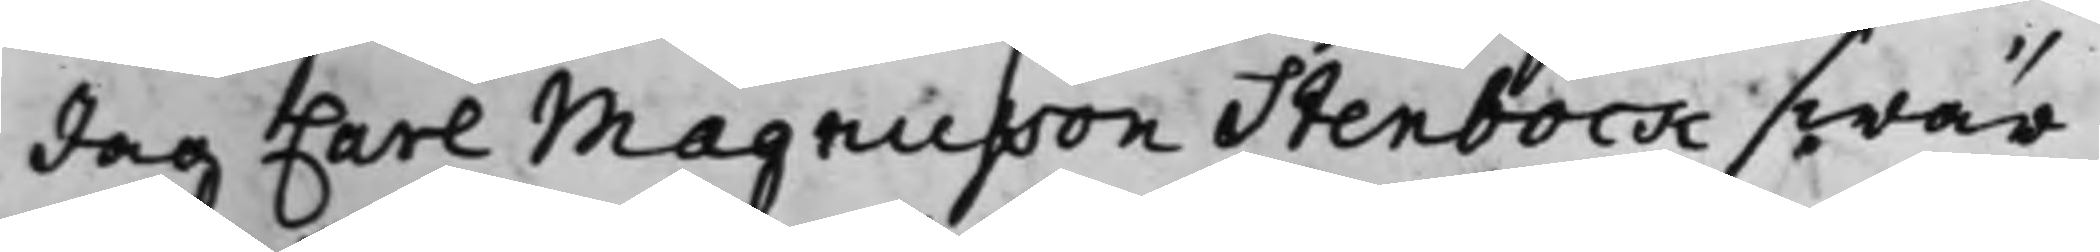Jag Carl Magnusson Stenbock swär
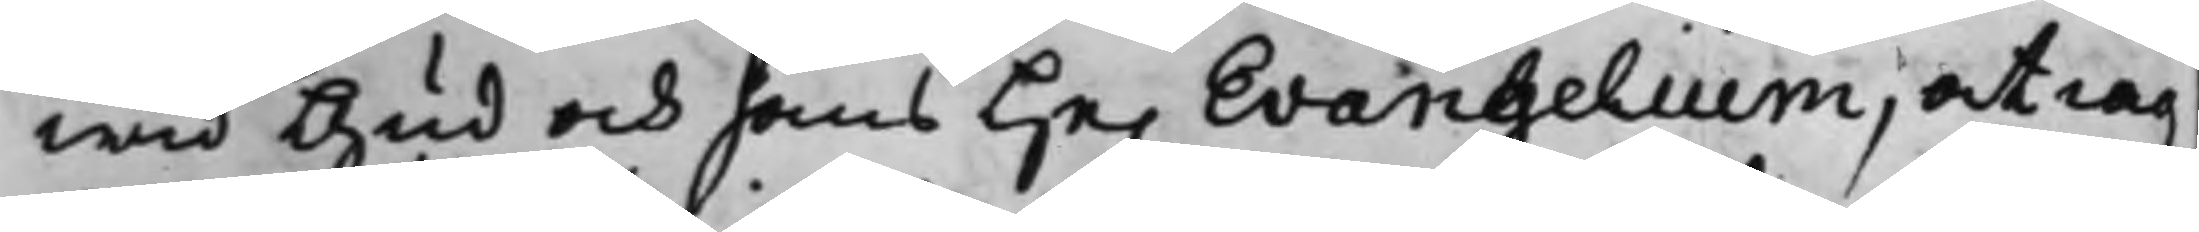wid Gud och hans He. Evangelium, at iag
